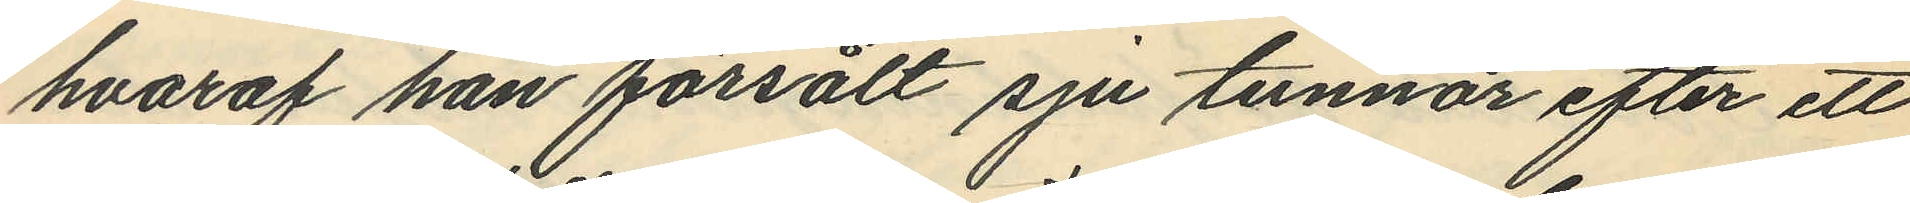hvaraf han försålt sju tunnor efter ett
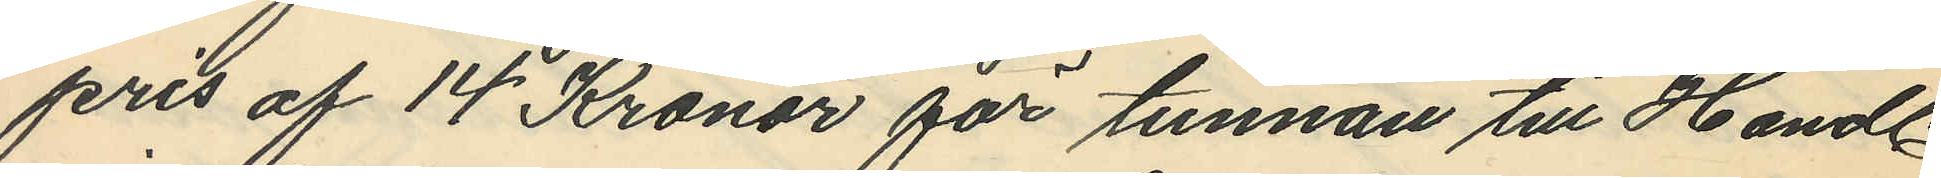pris af 14 Kronor för tunnan till Handl.
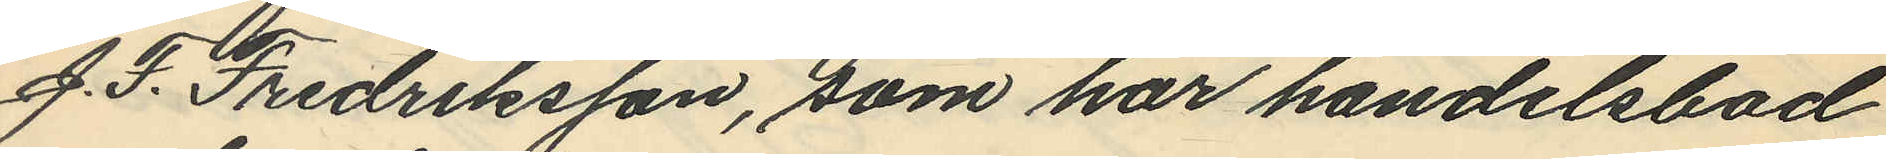J. F. Fredriksson, som har handelsbod
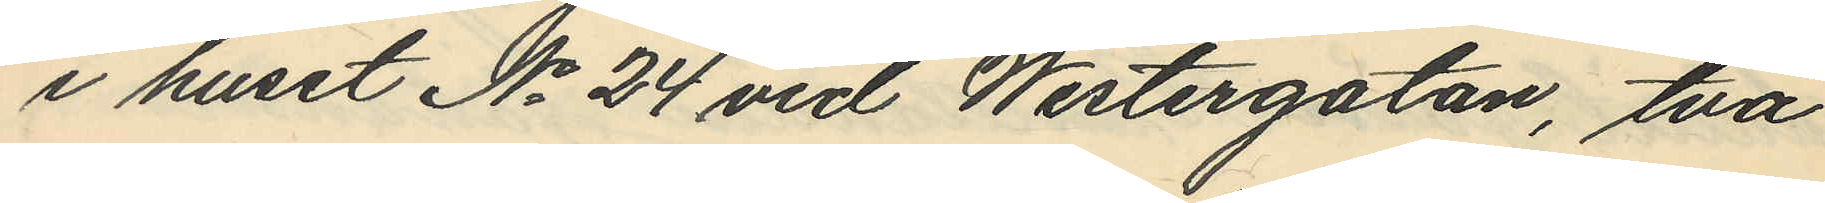i huset No 24 vid Westergatan, två
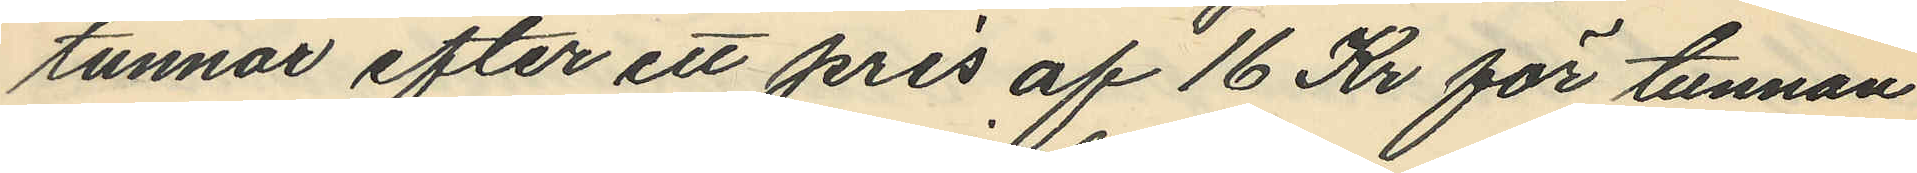tunnor efter ett pris af 16 Kr för tunnan
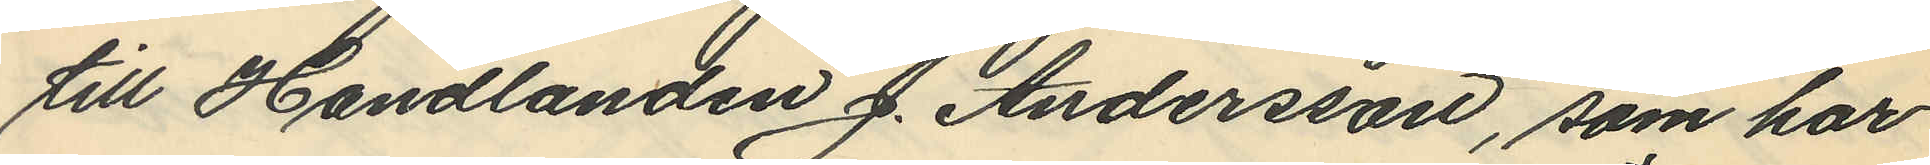till Handlanden J. Andersson, som har
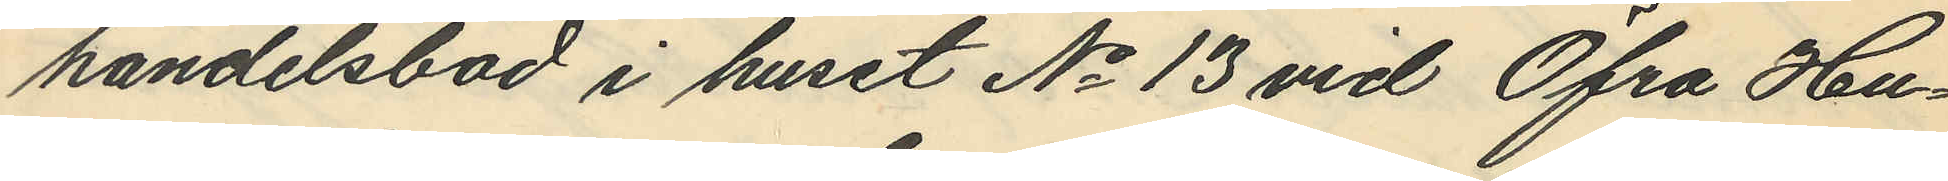handelsbod i huset No 13 vid Öfra Hu¬
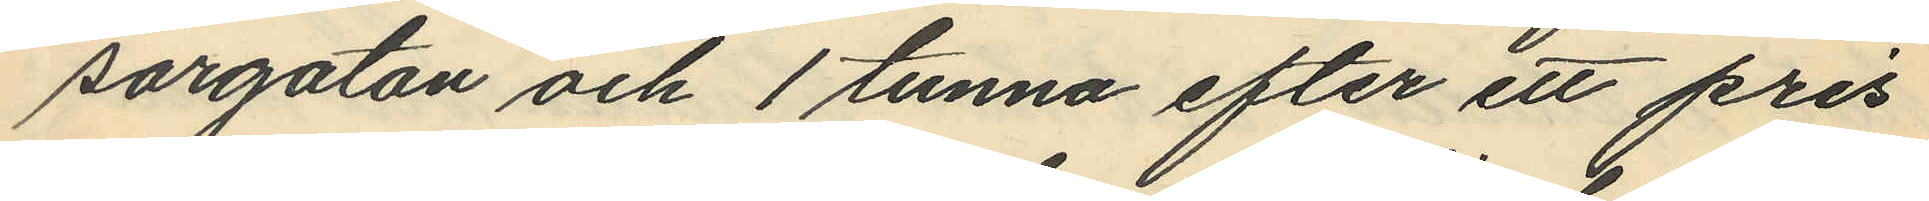sargatan och 1 tunna efter ett pris
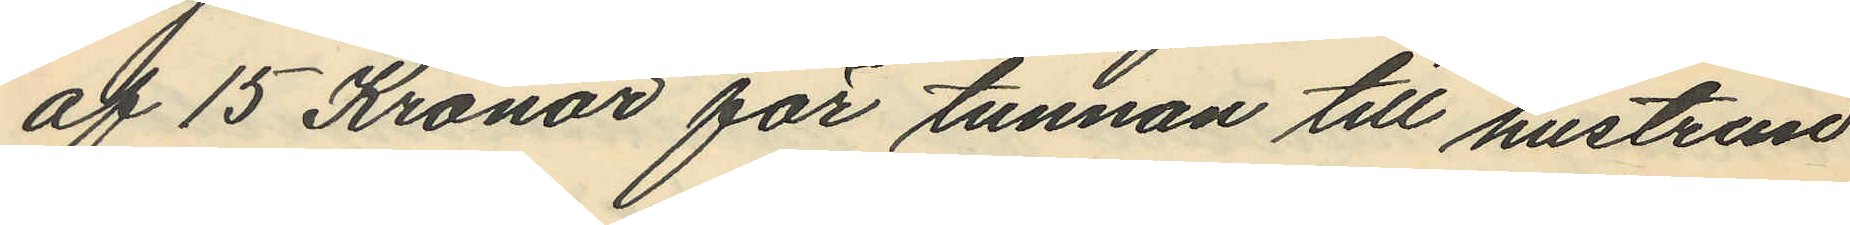af 15 Kronor för tunnan till hustrun
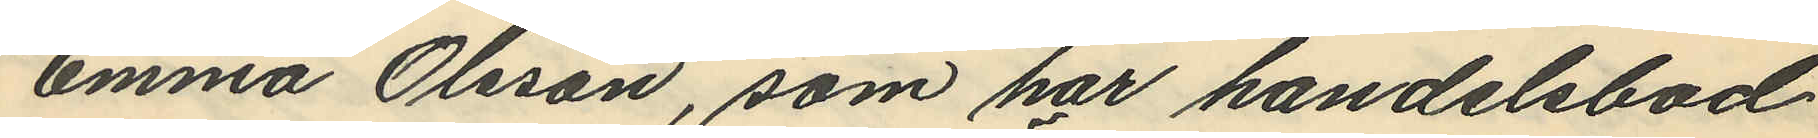Emma Olsson, som har handelsbod
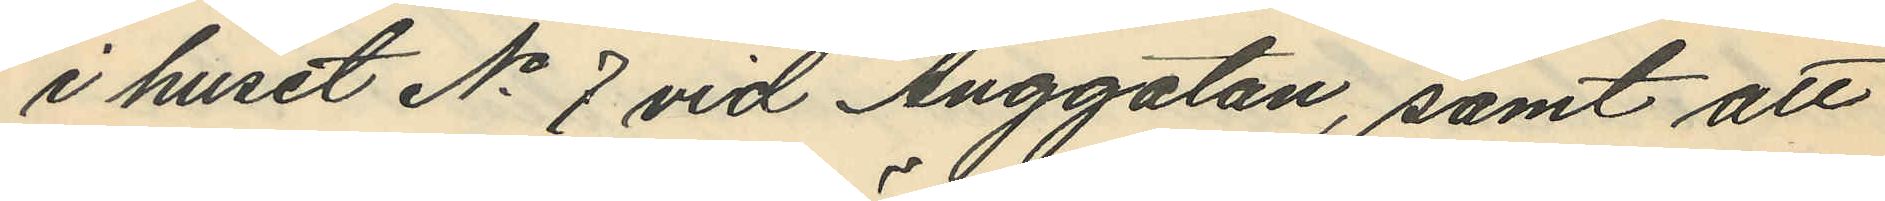i huset No 7 vid Änggatan, samt att
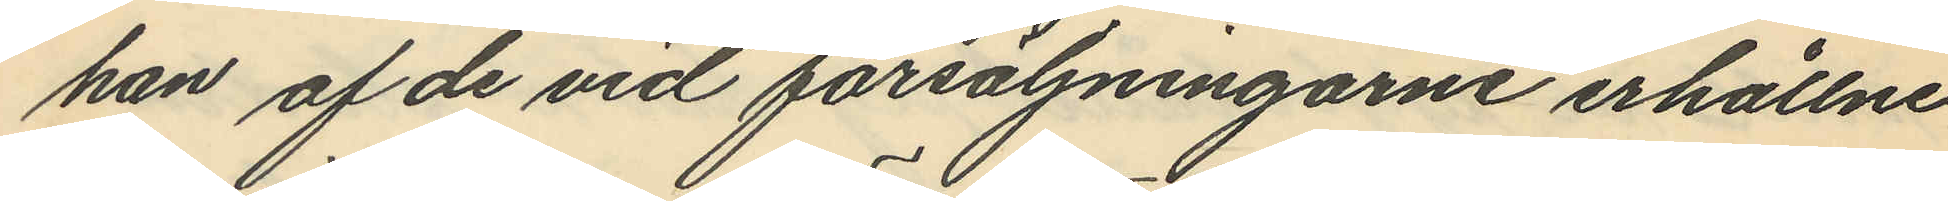han af de vid försäljningarne erhållne
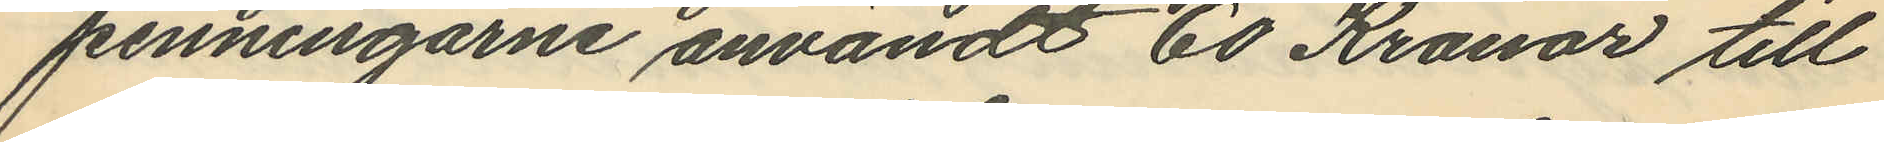penningarne användt 60 Kronor till
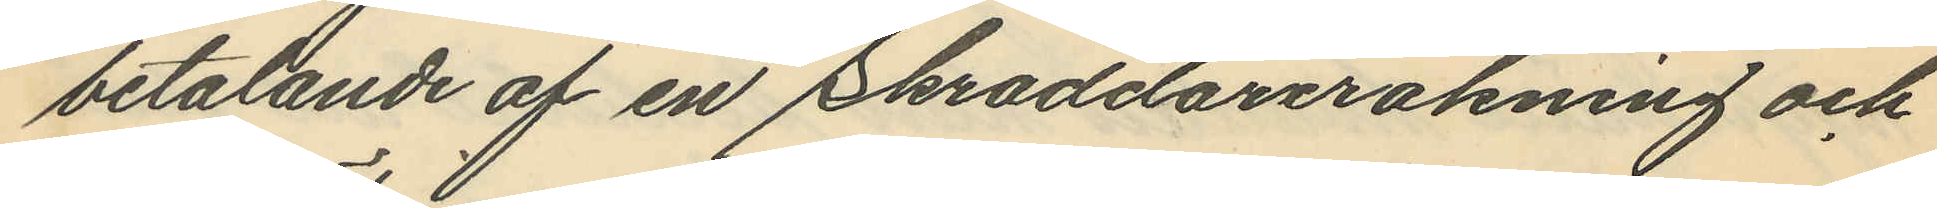betalande af en Skraddarerakning och
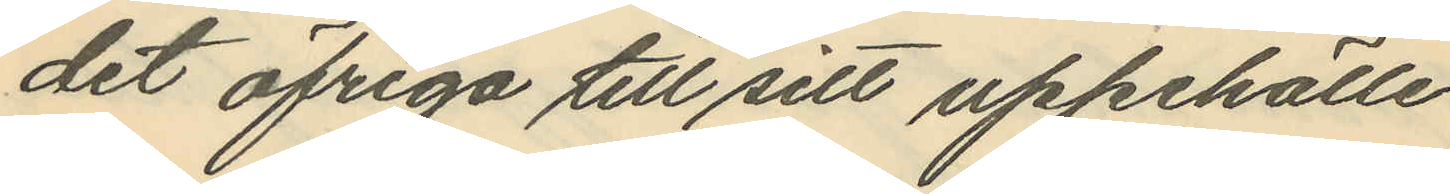det öfriga till sitt uppehälle.
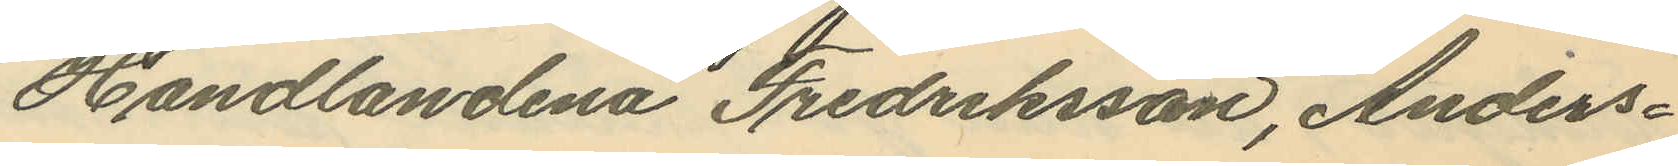Handlandena Fredriksson, Anders¬
